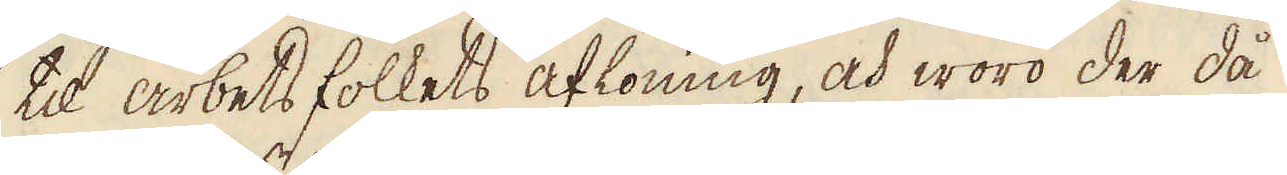til arbetsfolkets aflöning, och woro der då
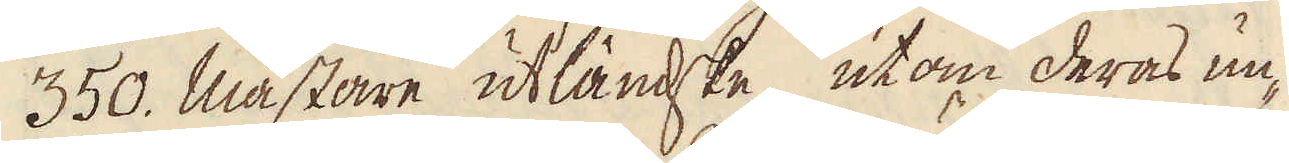350. mästare utländske utom deras un-
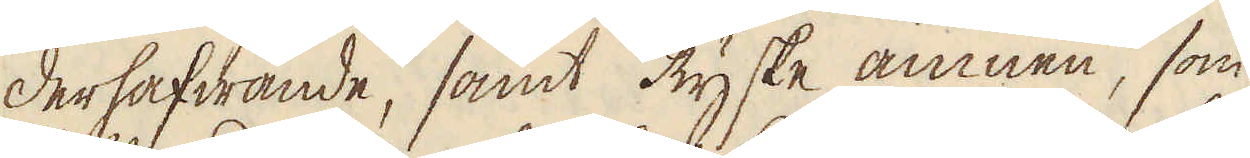derhafwande, samt Ryske ämnen, som
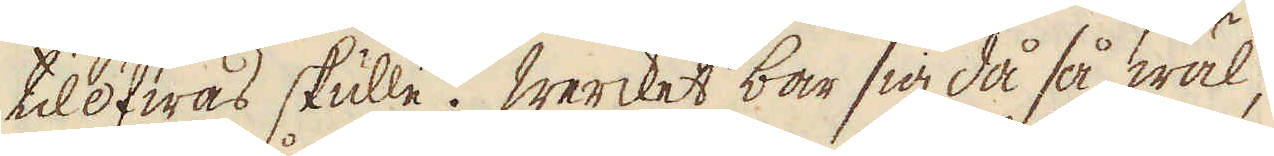tilöfwas skulle. Wercket bar sig då så wäl,
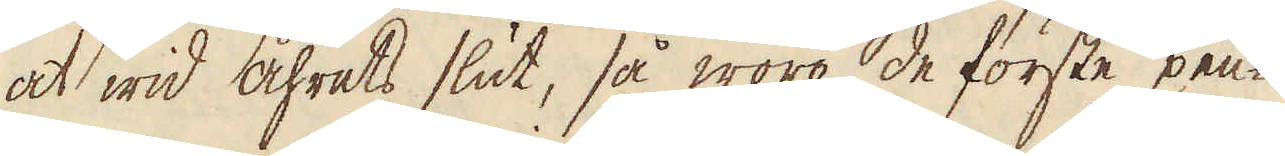at wid åhrets slut, så woro de förste pen-
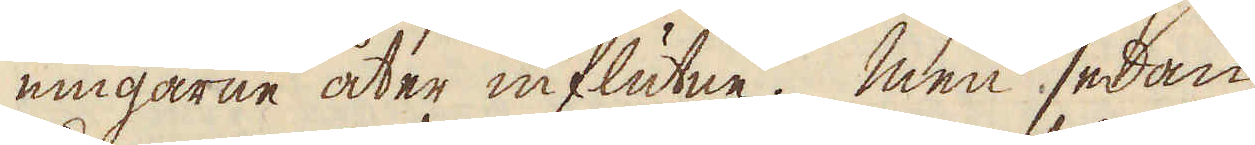ningarne åter influtne. Men sedan
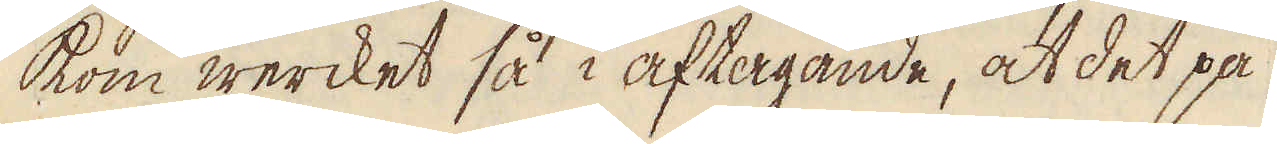kom wercket så i aftagande, at det på
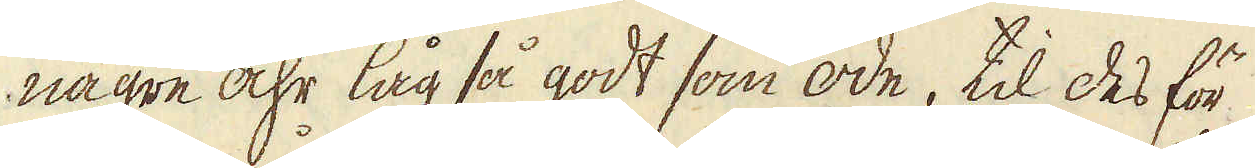någre åhr låg så godt som öde, til des för
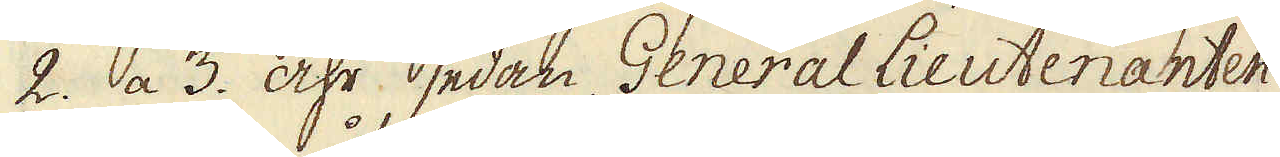2. a 3. åhr sedan General Lieutenanten
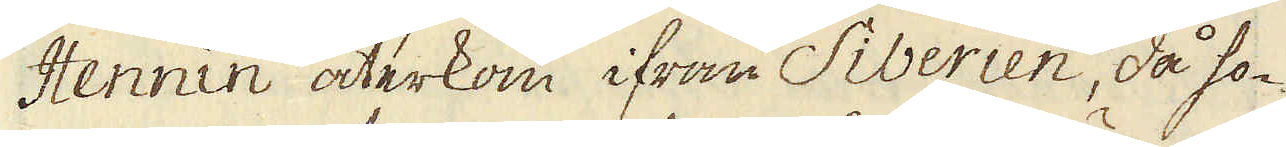Hennin återkom ifrån Siberien, då ho-
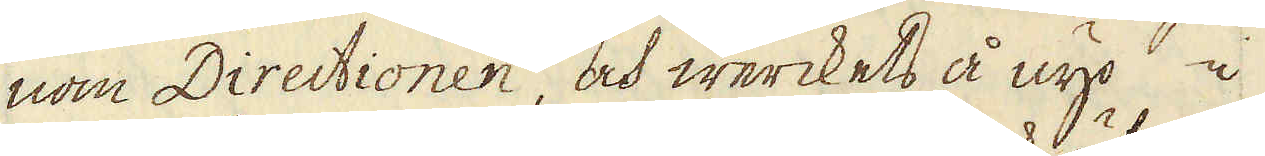nom Directionen, och werckets å nyo i
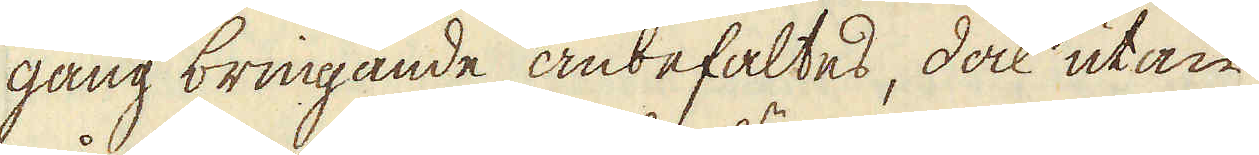gång bringande anbefaltes, dock utan
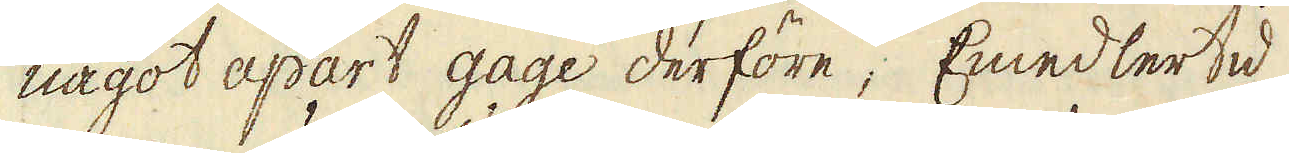något apart gage derföre; Emedlertid
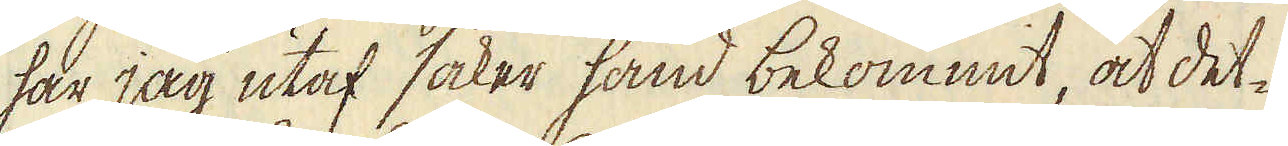har jag utaf säker hand bekommit, at det-
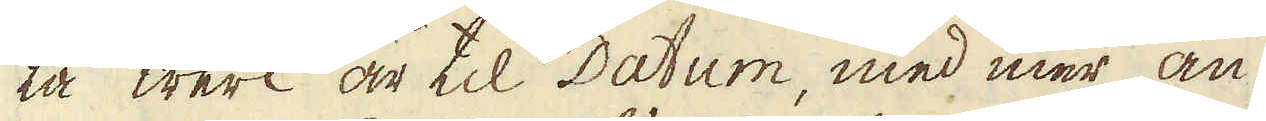ta werk är til Datum, med mer än
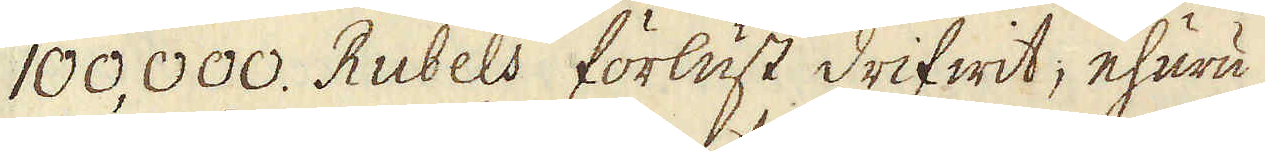100,000. Rubels förlust drifwit; ehuru
